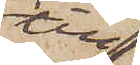till
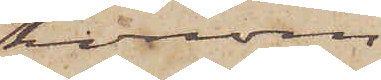honom
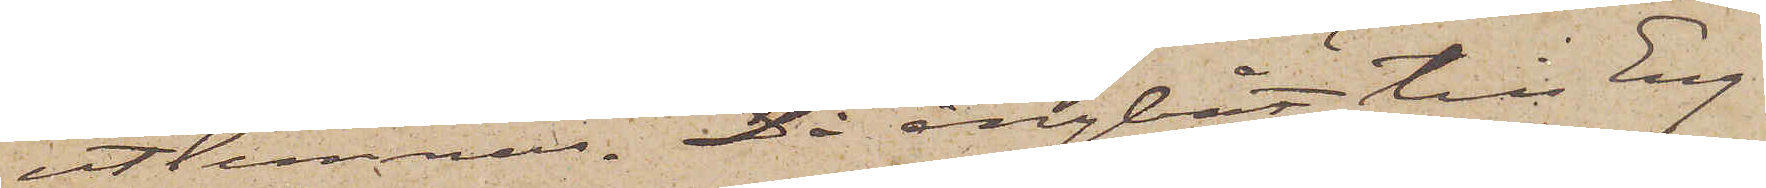utlemnas. Då ångbåt till Eng¬
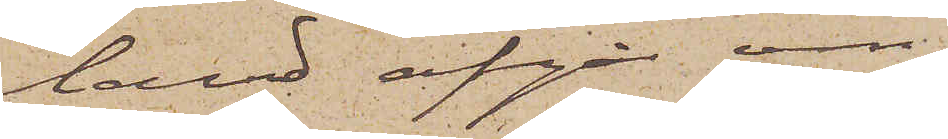land afgår om
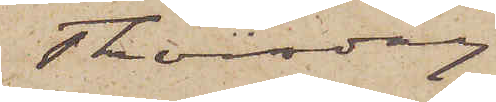Thorsdag
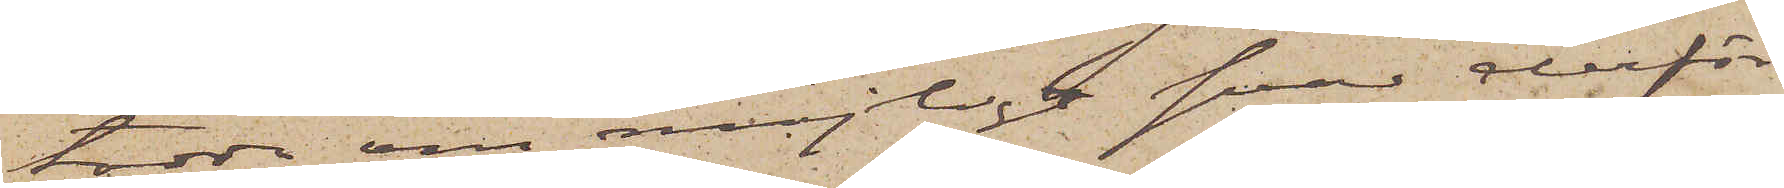torde om möjligt svar derför¬
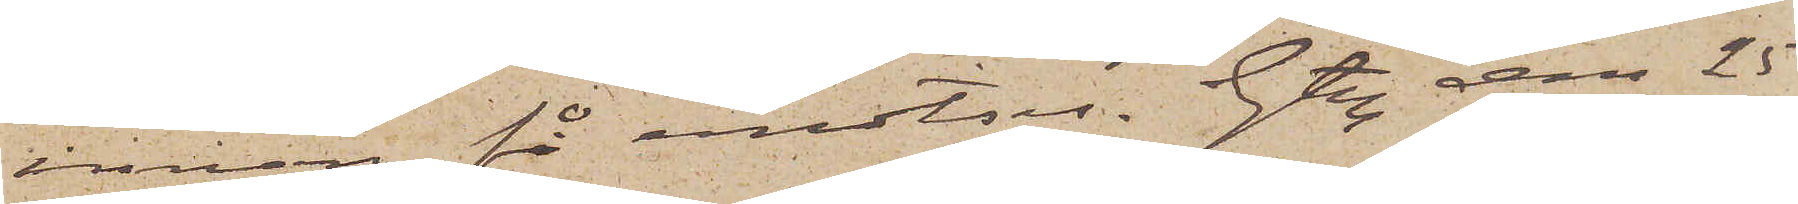innan få emotses. Gtbg den 25
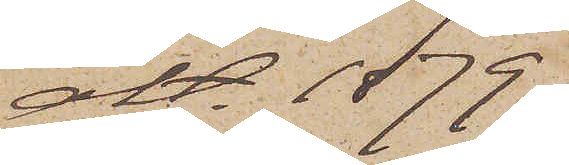okt 1879.
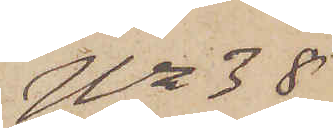No 38
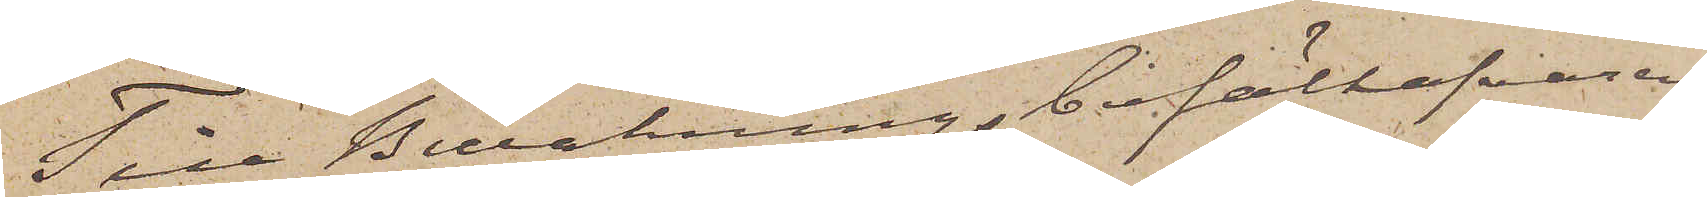Till Bevakningsbefälhafvaren
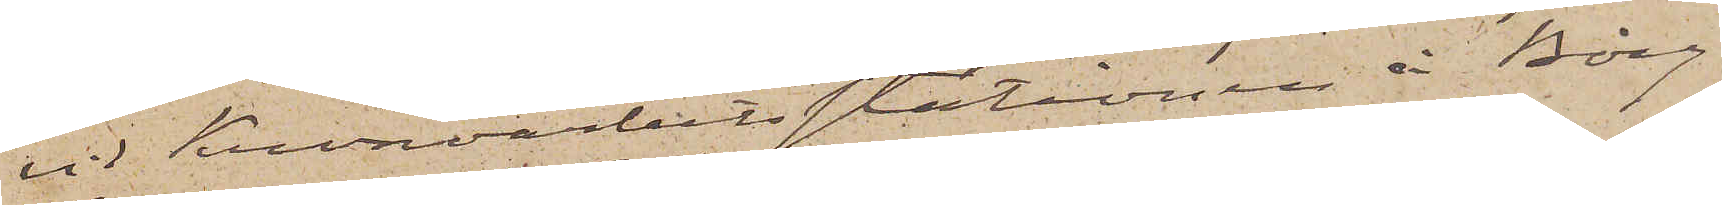vid Kronoarbetsstationen i Borg¬
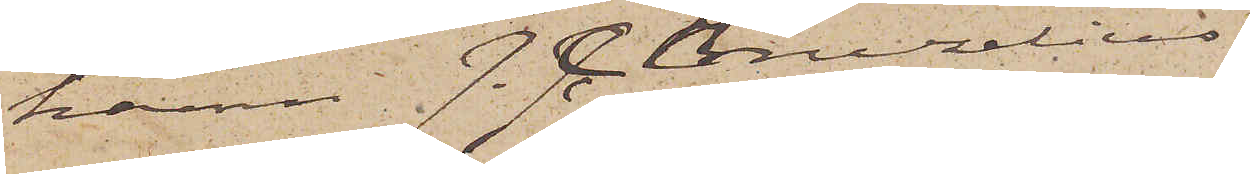hamn J. C. Bruzelius
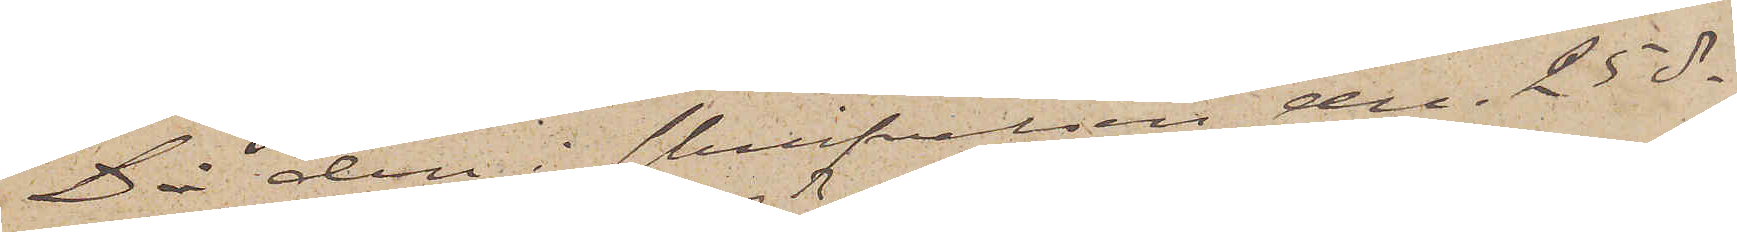Då den i skrifvelsen den 25 ds
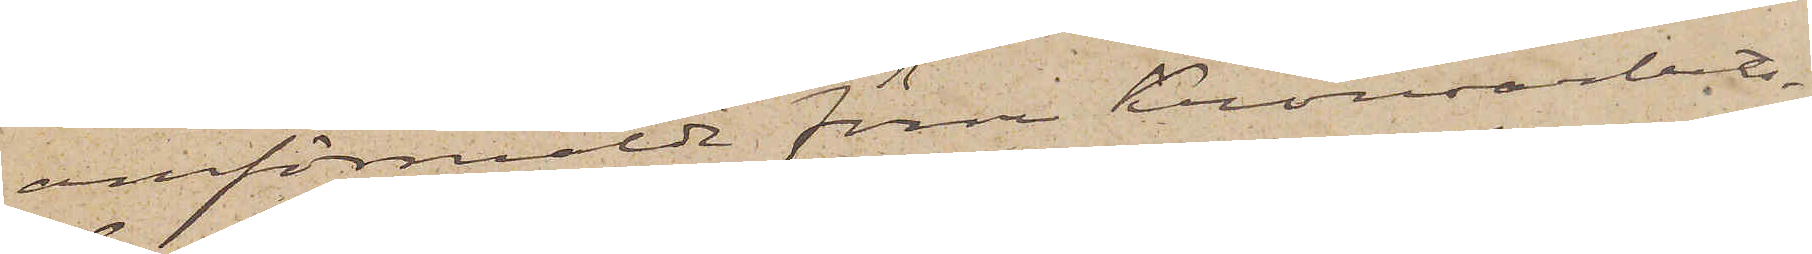omförmälde förre kronoarbets¬
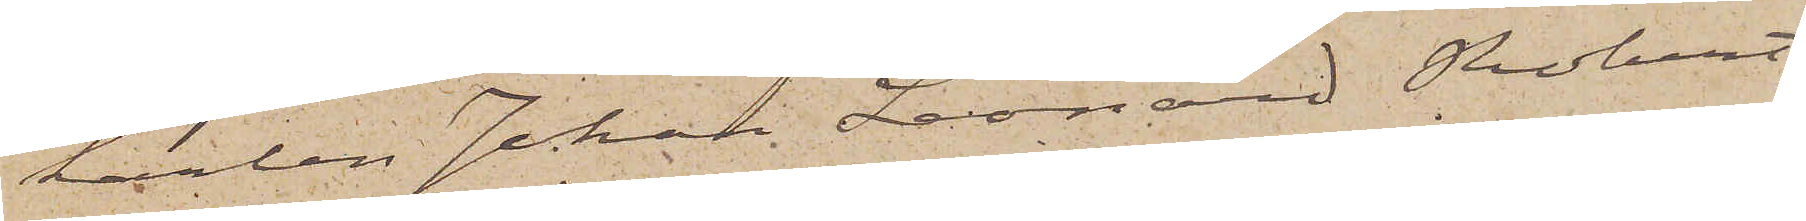karlen Johan Leonard Robert
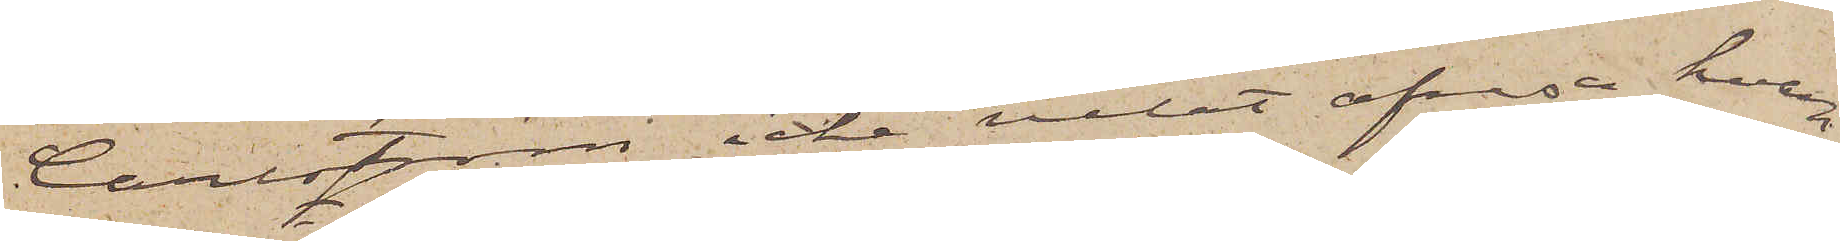Carlström icke velat afresa hvar¬
